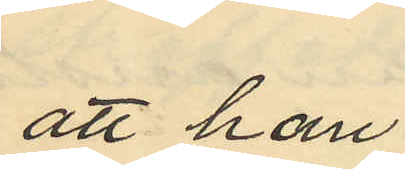att han
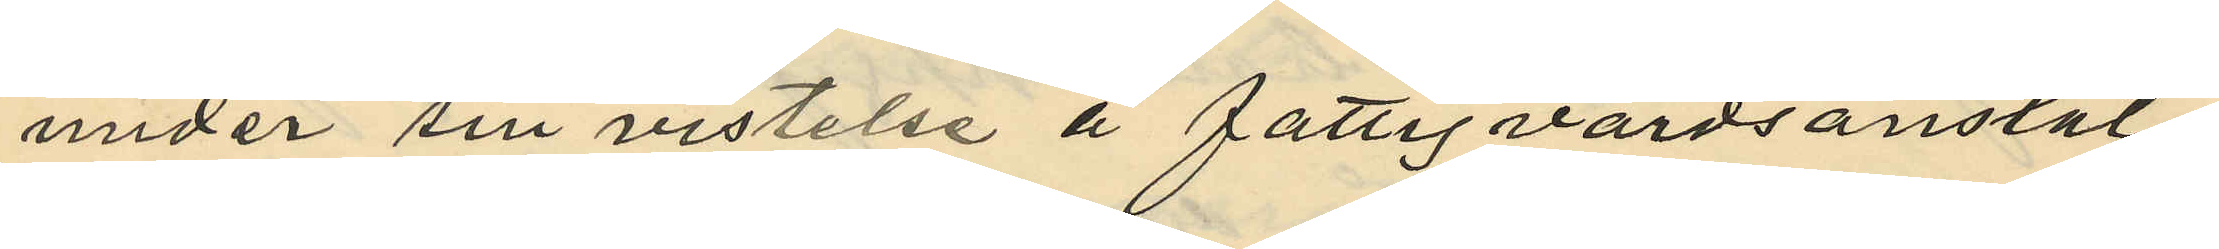under sin vistelse å fattigvårdsanstal¬
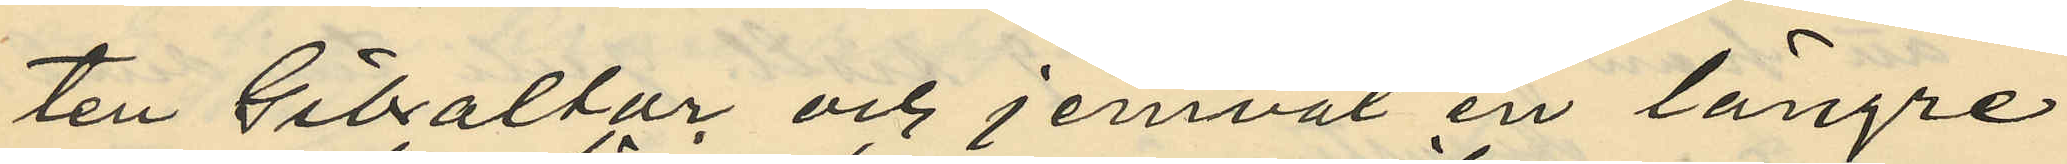ten Gibraltar och jemväl en längre
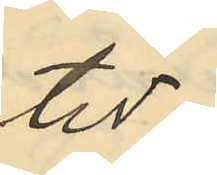tid
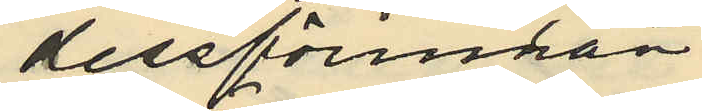dessförinnan
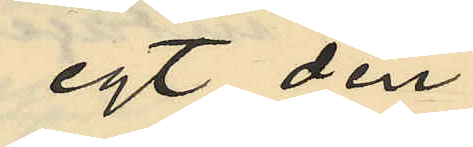egt den
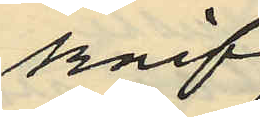knif
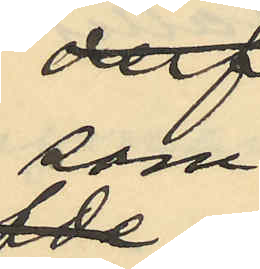som
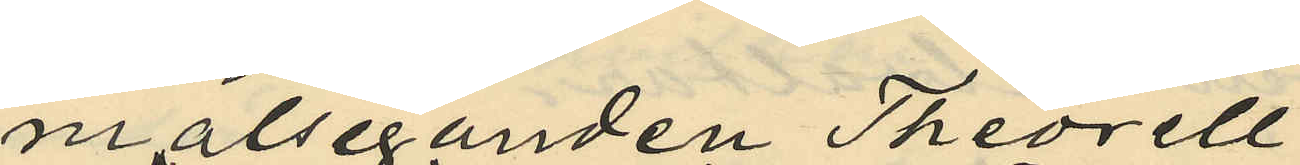målseganden Theorell
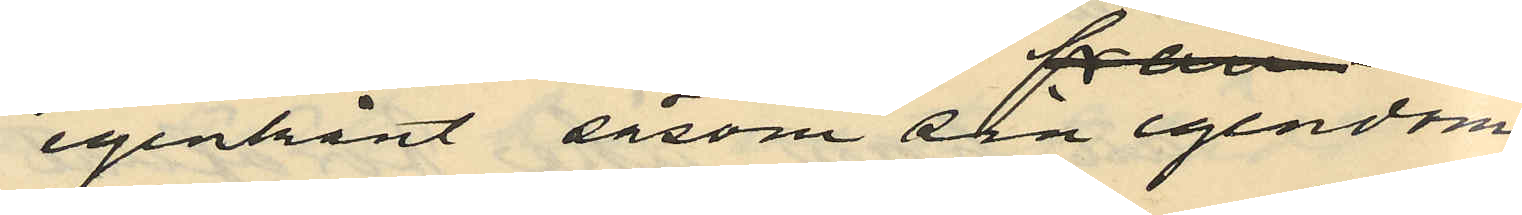igenkänt såsom sin egendom
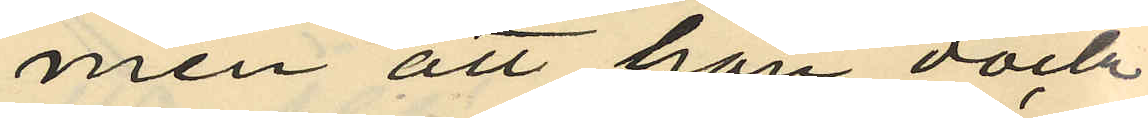men att han dock
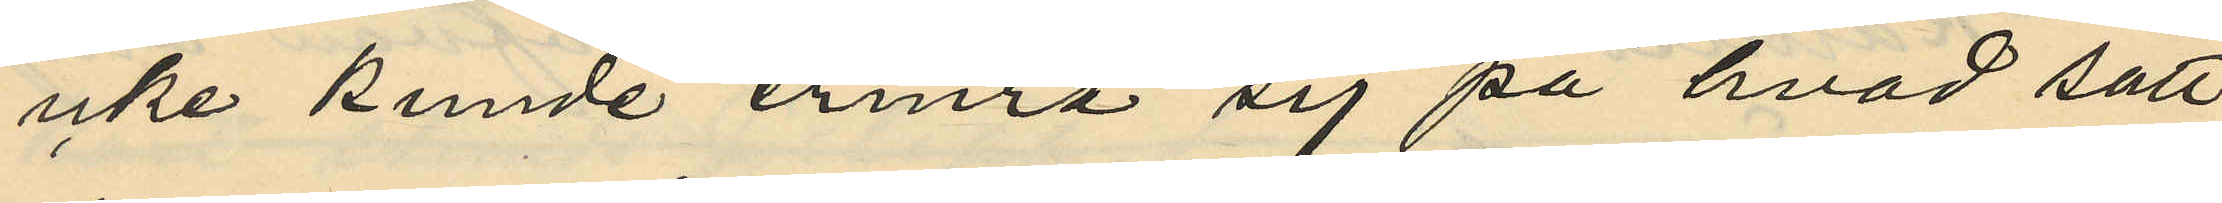icke kunde erinra sig på hvad sätt
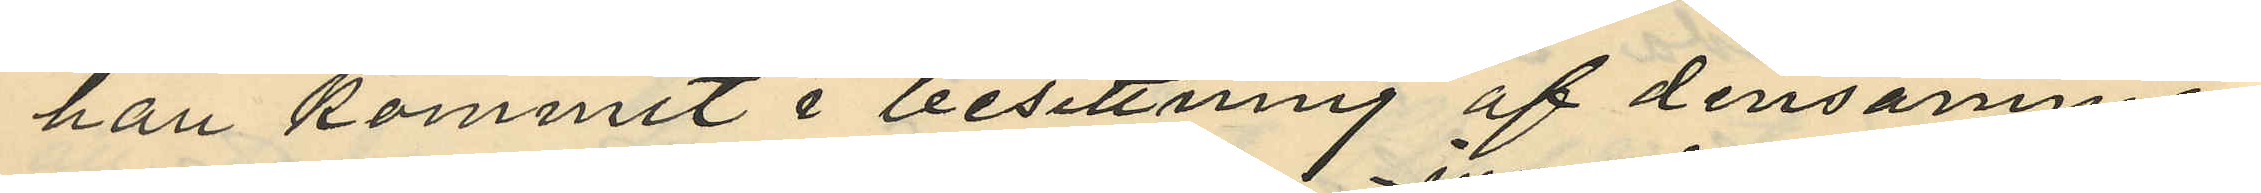han kommit i besittning af densamme,
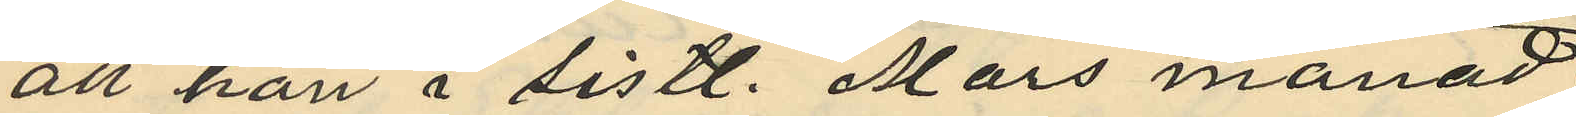att han i sistl. Mars månad
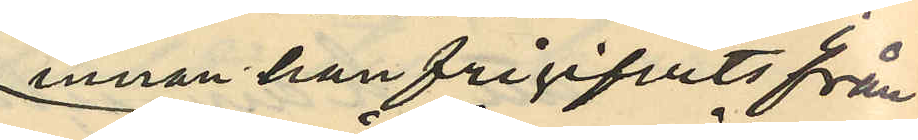innan han frigifvits från
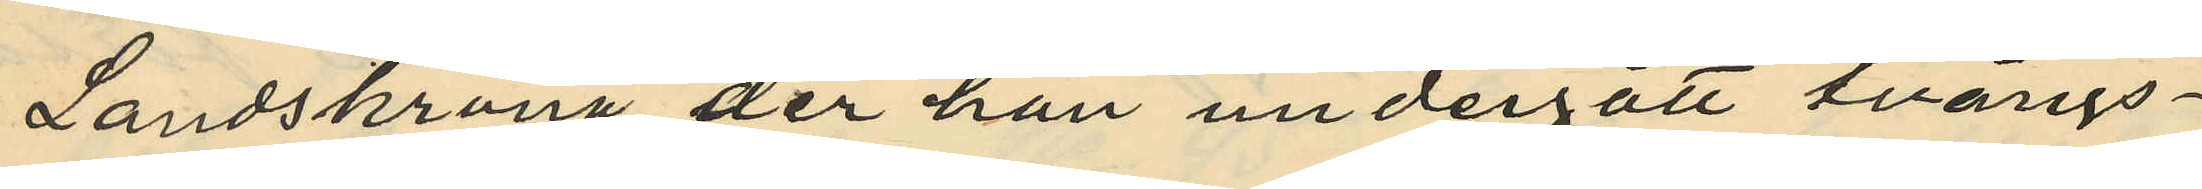Landskrona der han undergått tvångs¬
